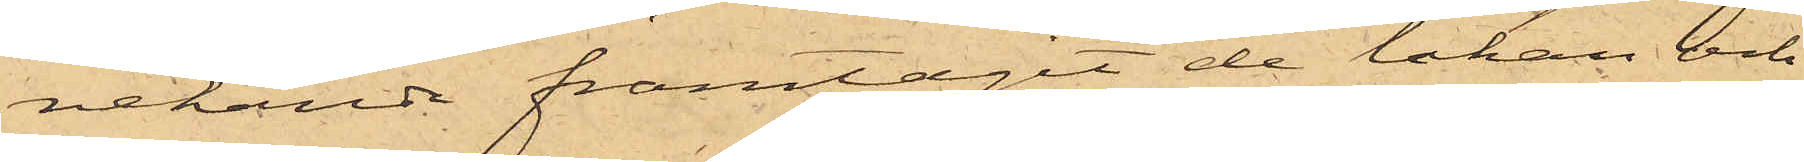nekande framtagit de lakan och
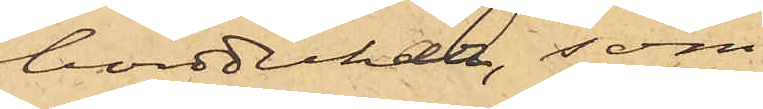borddukar, som
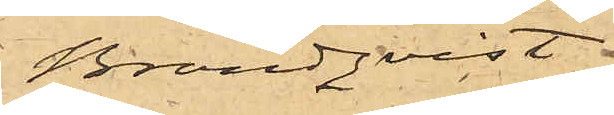Brandqvist
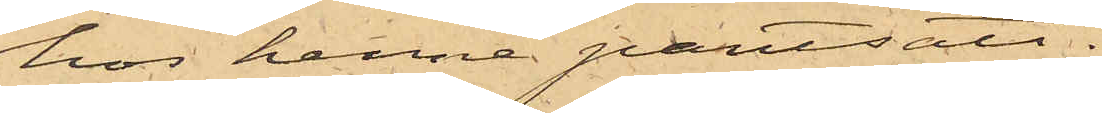hos henne pantsatt.
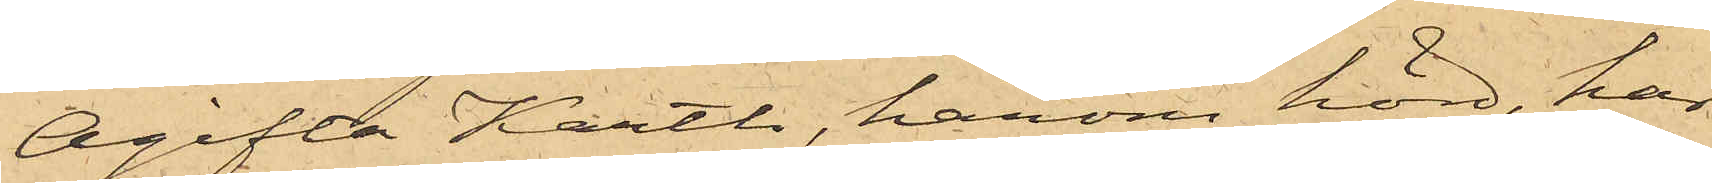Ogifta Karth, härom hörd, har
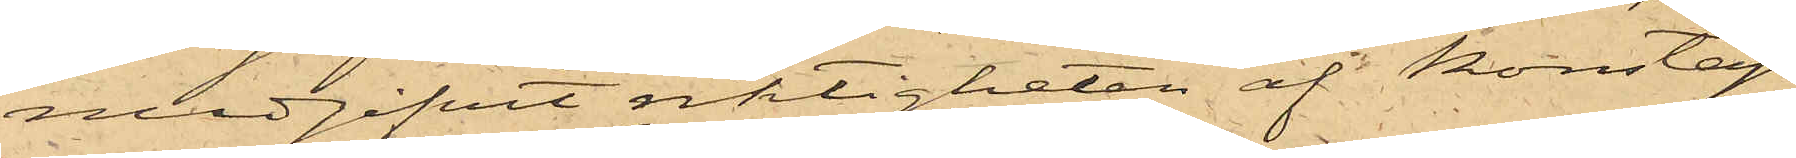medgifvit riktigheten af Konstap¬
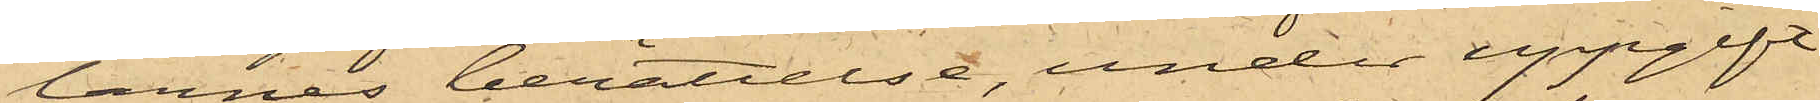larnes berättelse, under uppgift
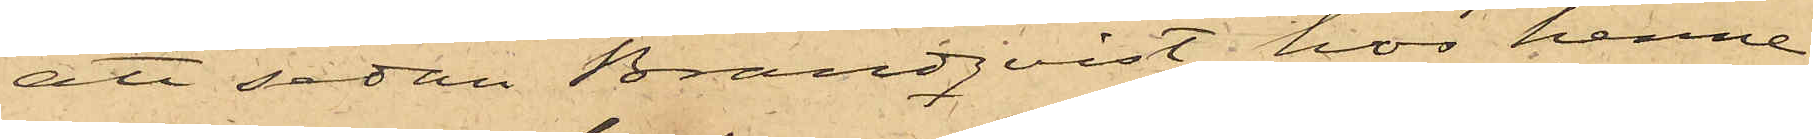att sedan Brandqvist hos henne
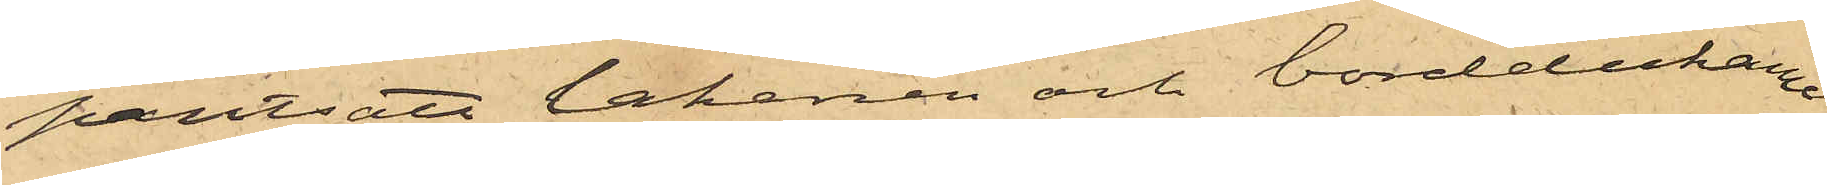pantsatt lakanen och borddukarne
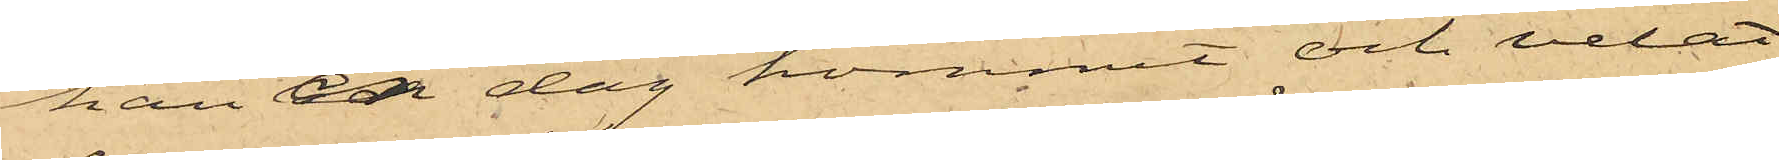han en dag kommit och velat
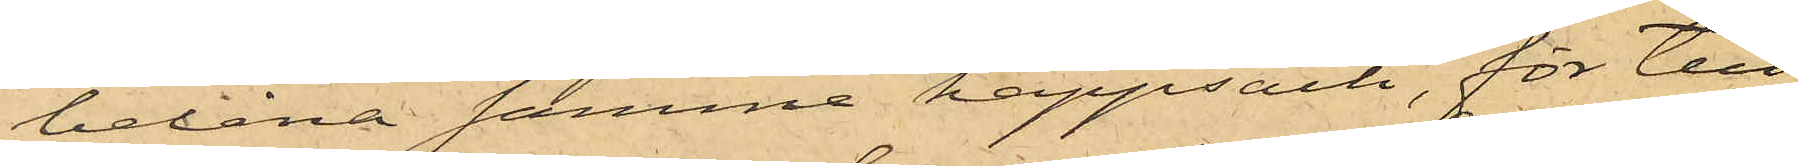belåna samma kappsäck, för till¬
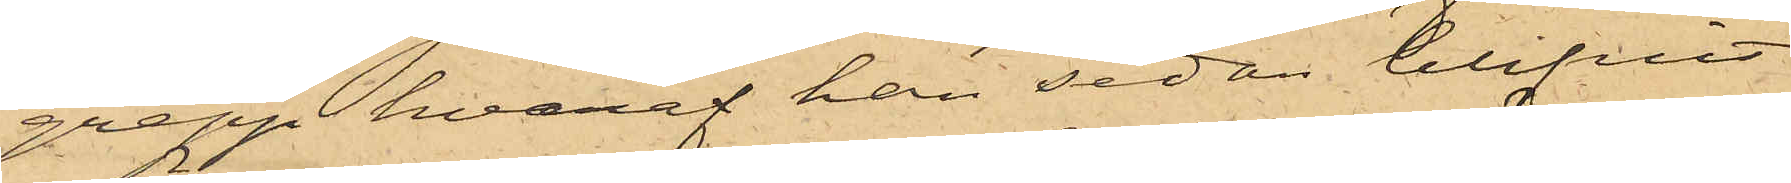grepp hvaraf han sedan blifvit
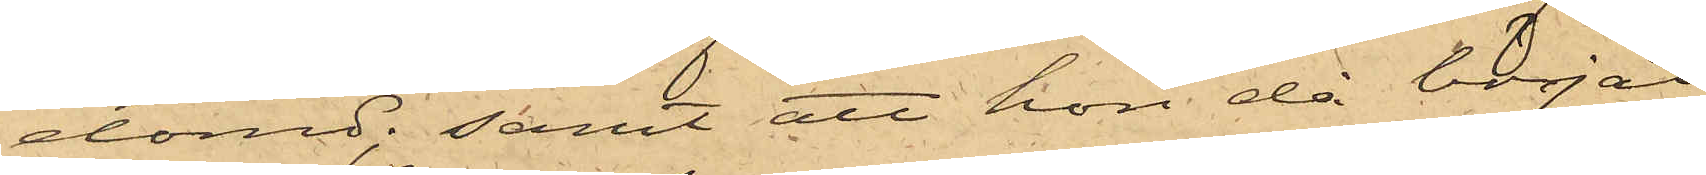dömd; samt att hon då börjat
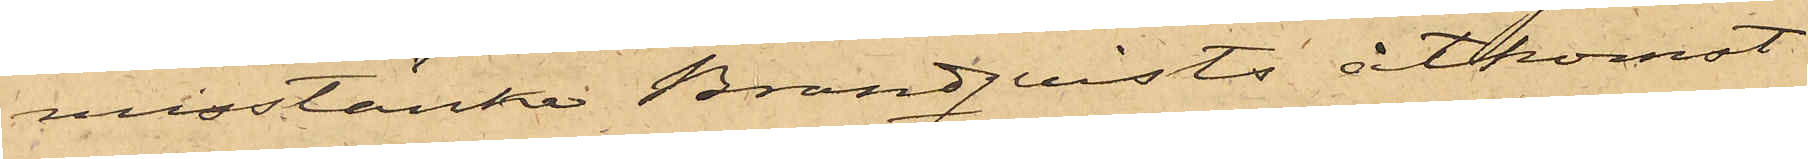misstänka Brandqvists åtkomst
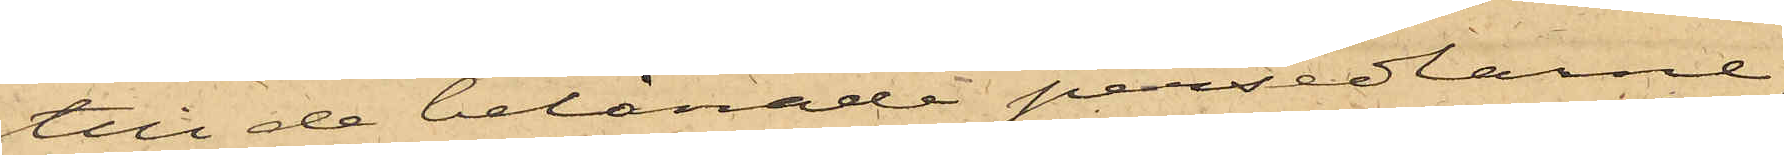till de belånade persedlarne,
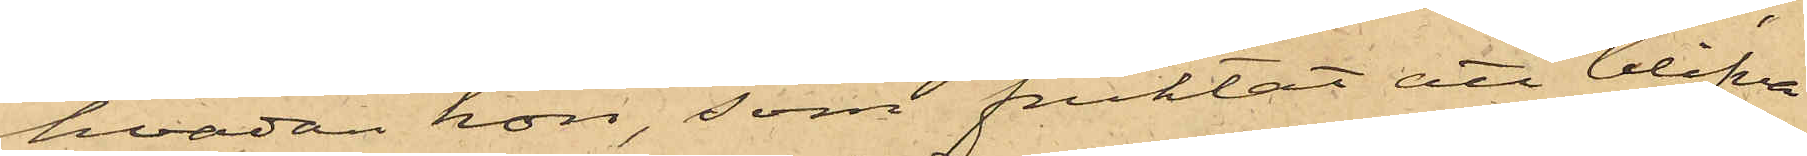hvadan hon, som fruktat att blifva
